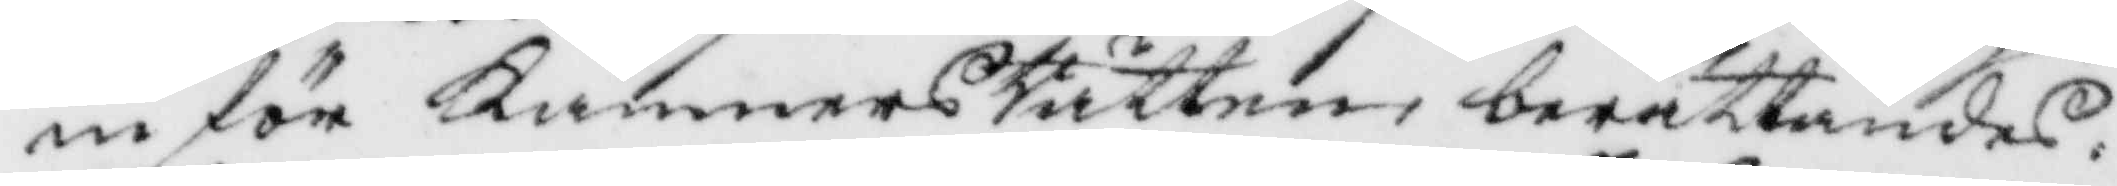inför KämnersRätten, berättandes,
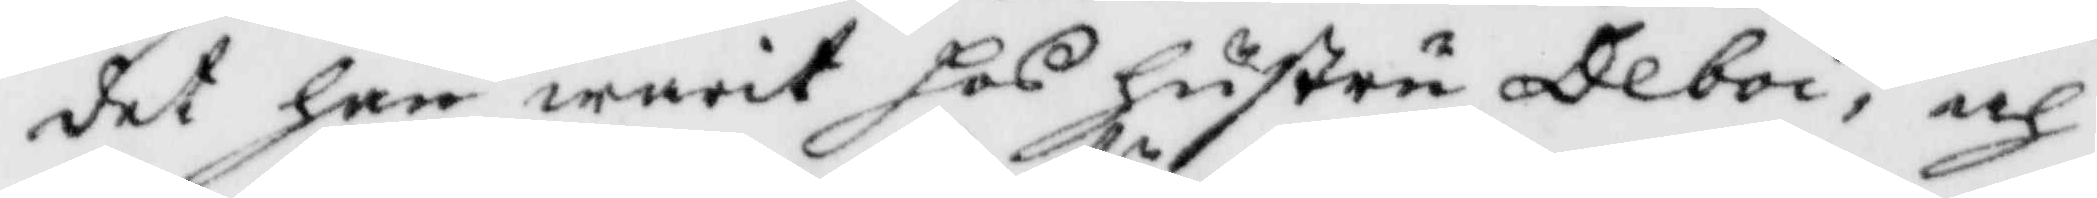det han warit hos hustru Deboi, och
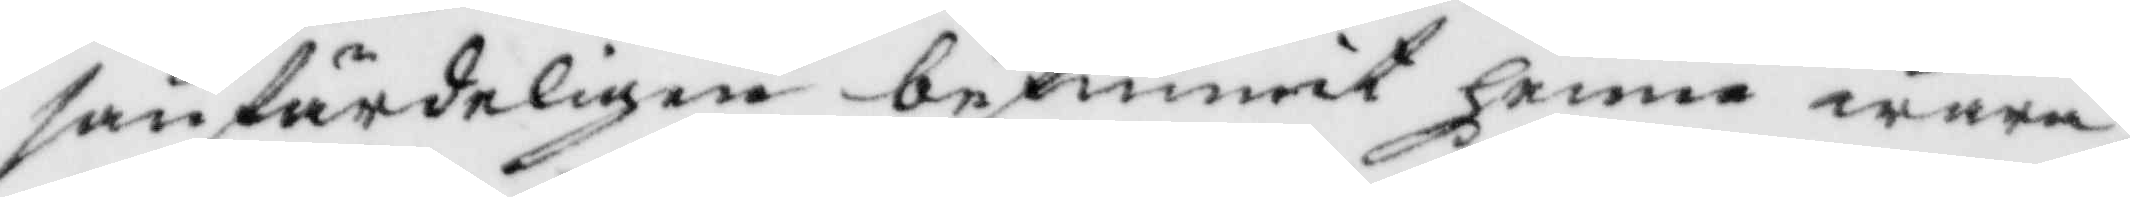sanfärdeligen befunnit henne wara
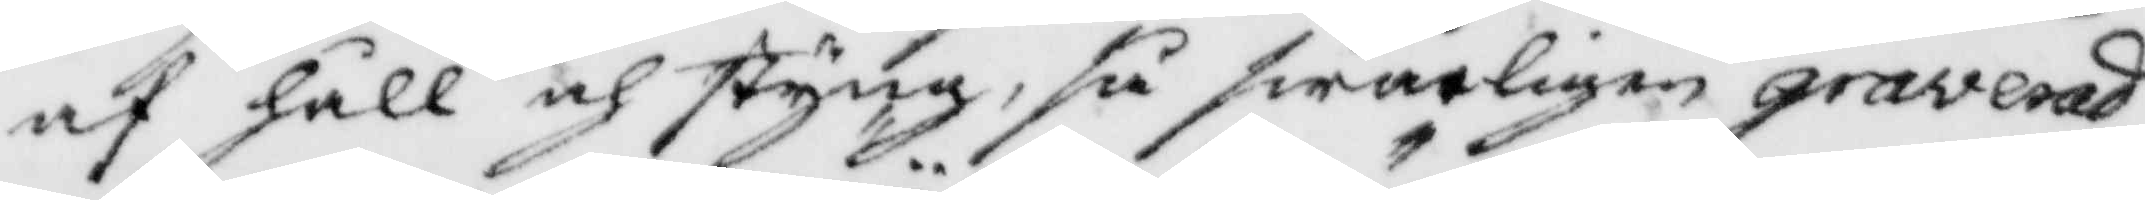af håll och styng, så swårligen graverad
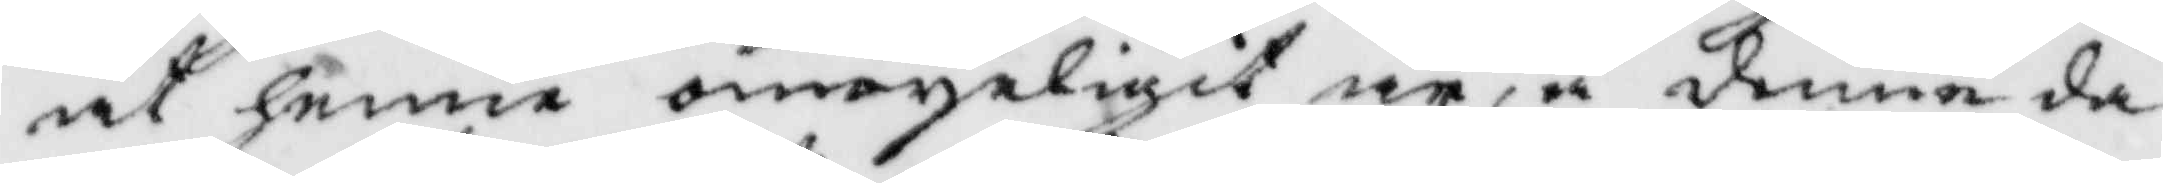att henne omoyeligit är, å denne da¬
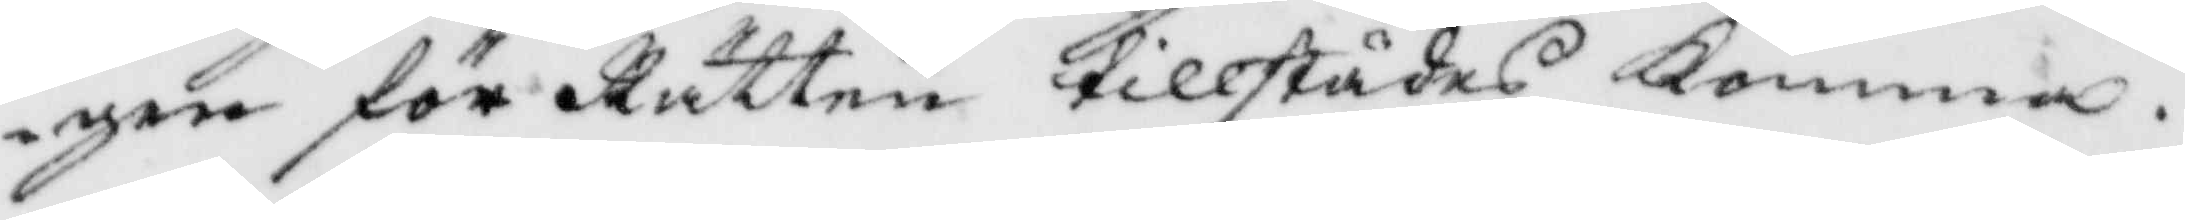gen för Rätten tillstädes Komma.
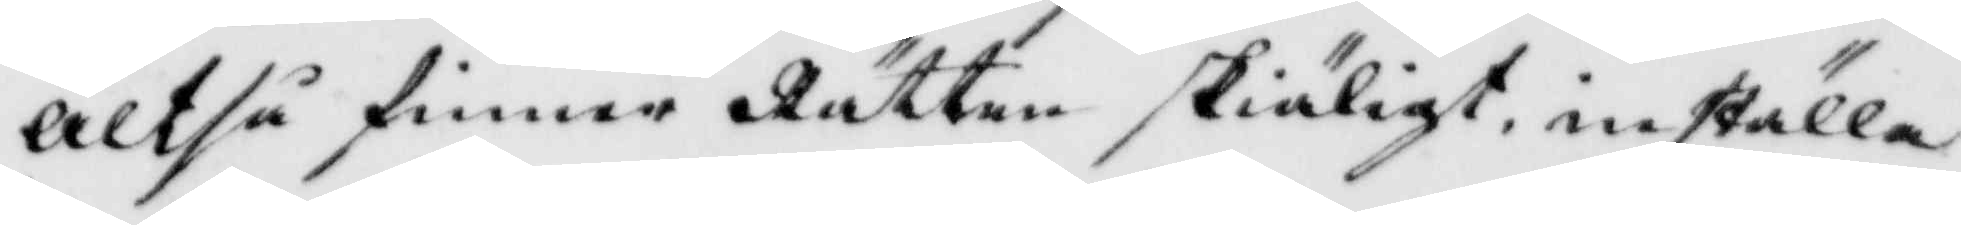Altså finner Rätten skiäligt, inställa
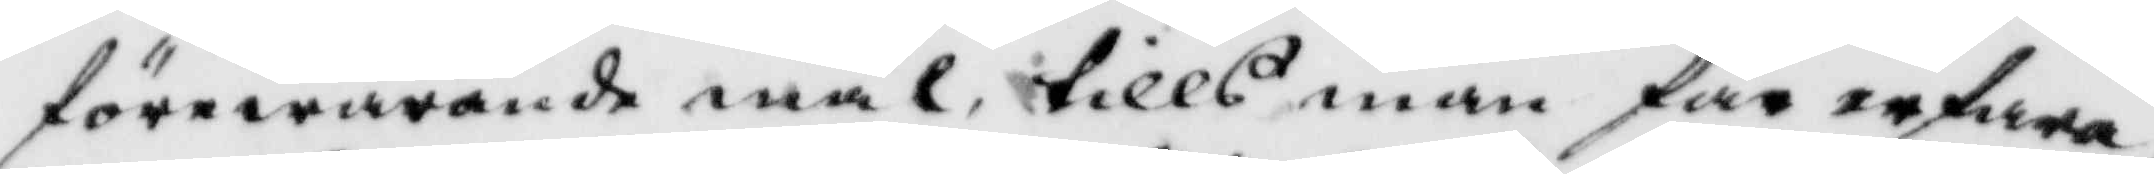förewarande mål, tills man får erfara,
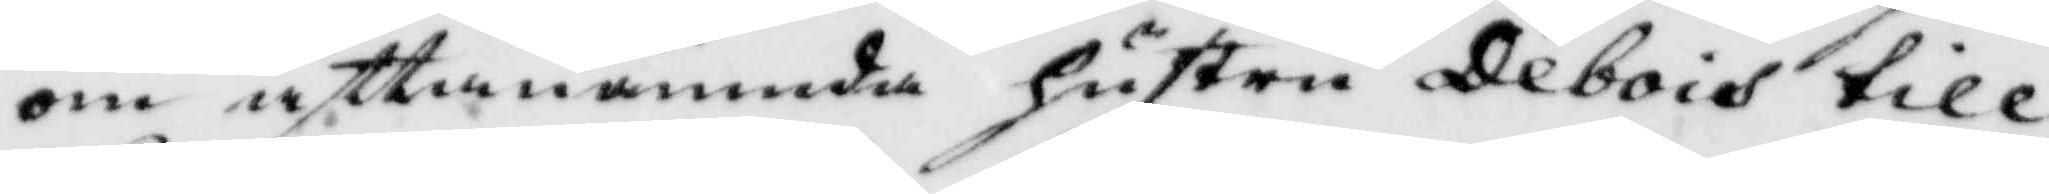om åftanämnda hustru Debois till¬
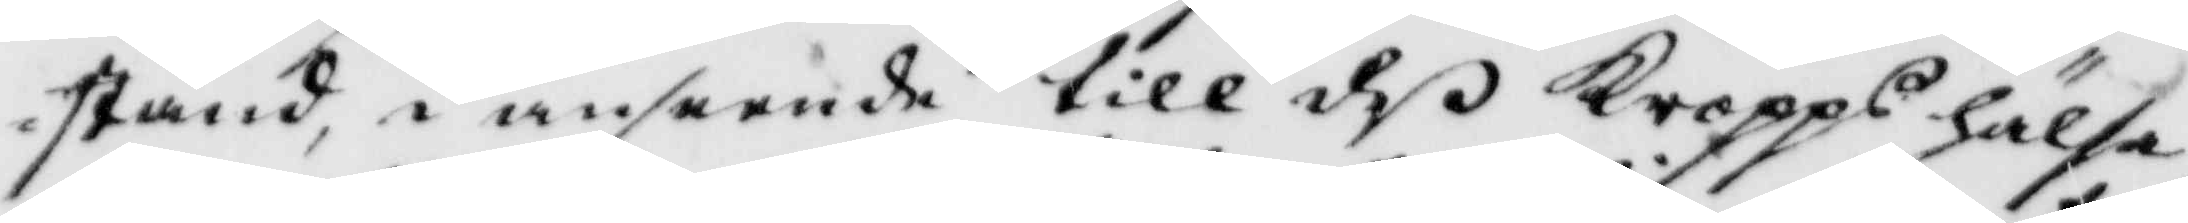stånd, i anseende till deß Kropps hälsa,
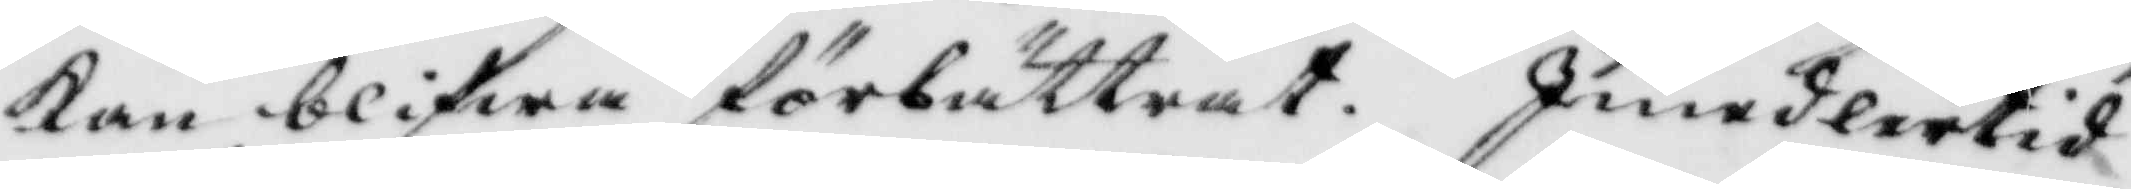Kan blifwa förbättrat. Iimedlertid
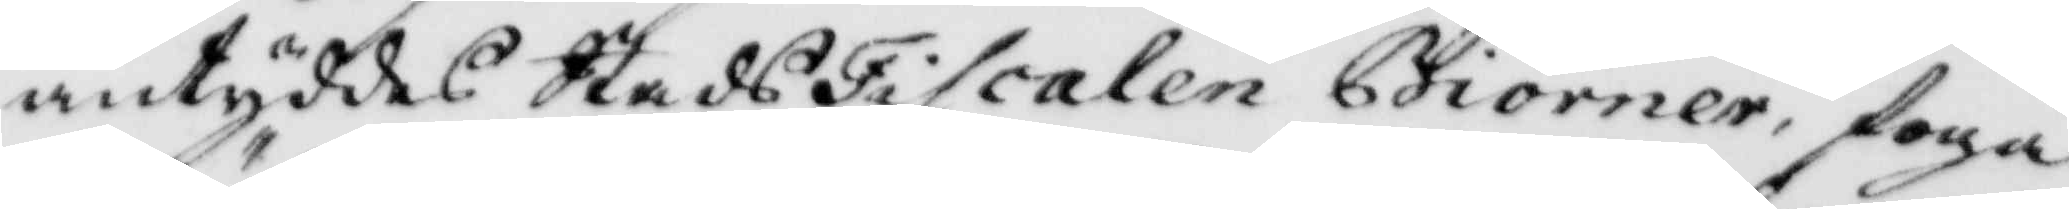antyddes StadsFiscalen Biörner, foga
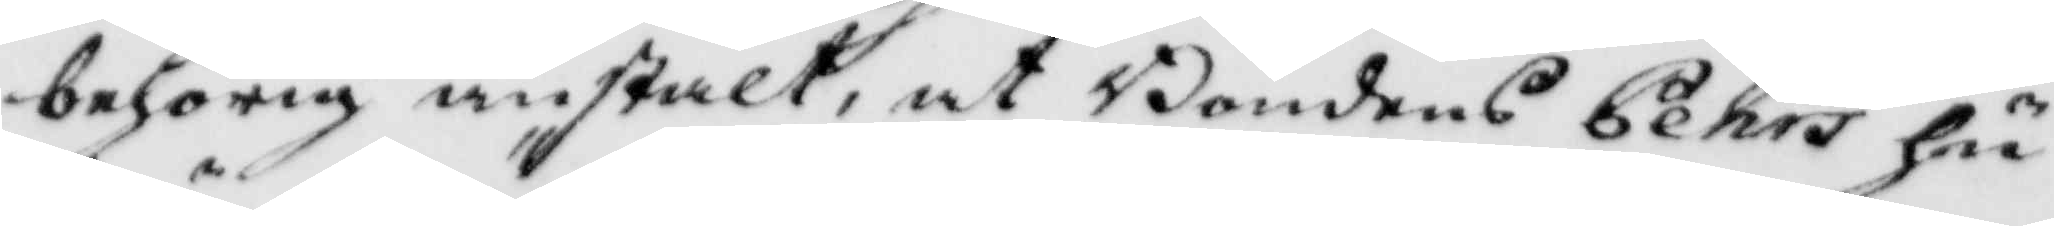behörig anstalt, at Bondens Pehs hu¬
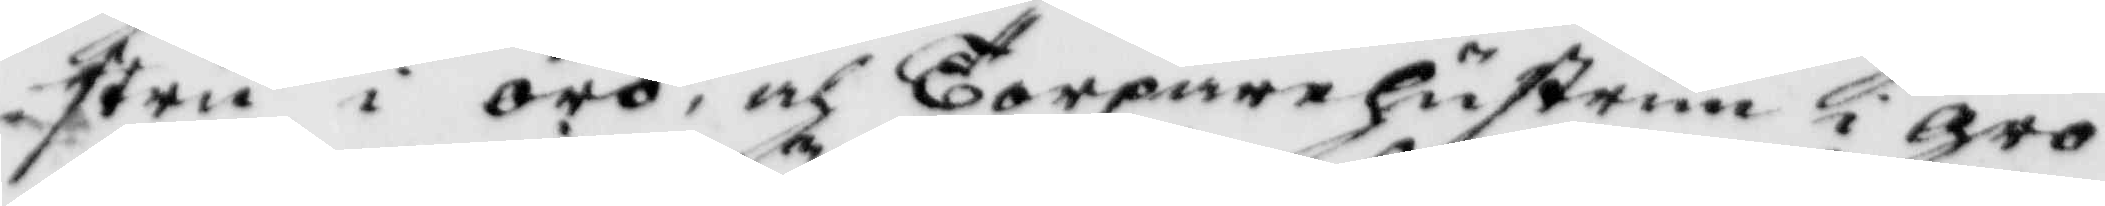stru i örö, och Torpare hustrun i gro¬
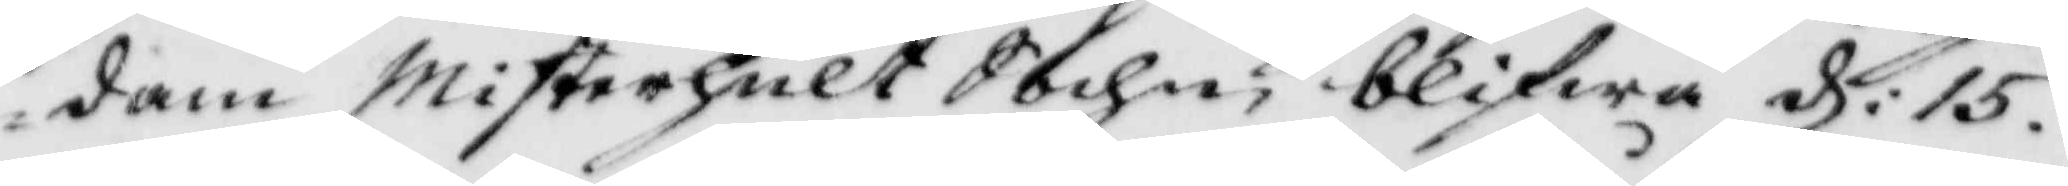dam Misterhult Sochn blifwa d: 15.
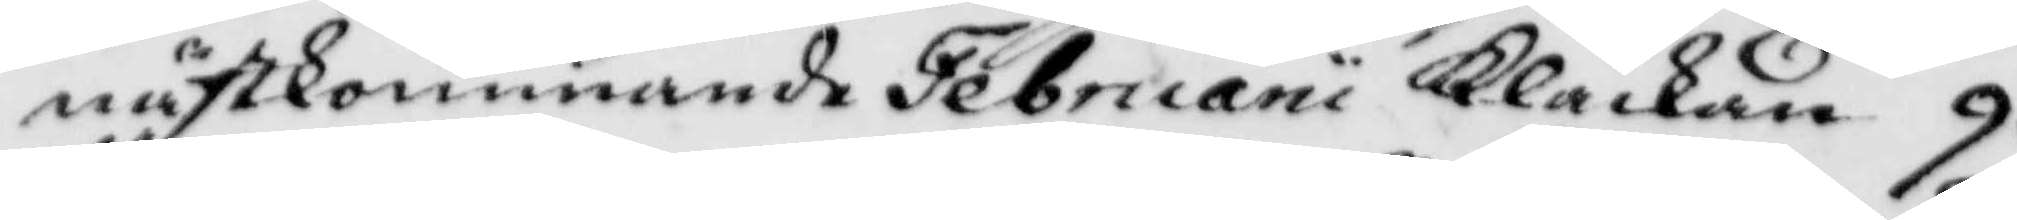nästkommande Februaru Klåckan 9.
